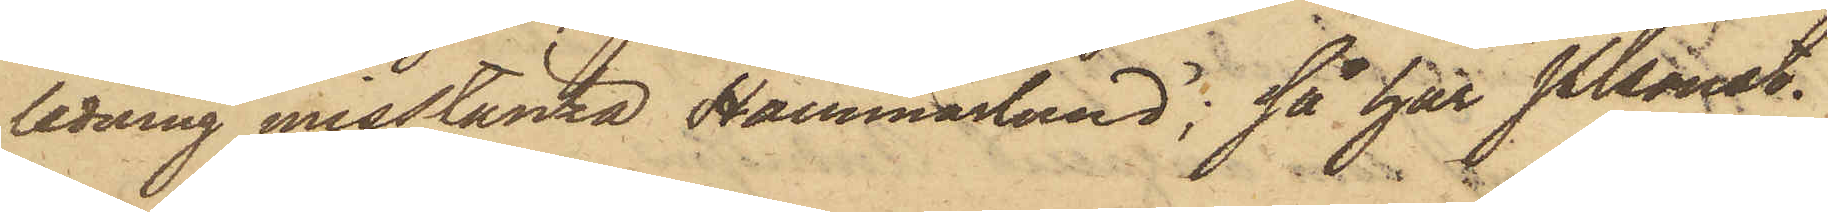ledning misstänka Hammarlund; så har Pkonst.
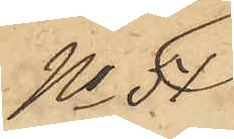No 51
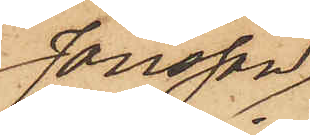Jönsson,
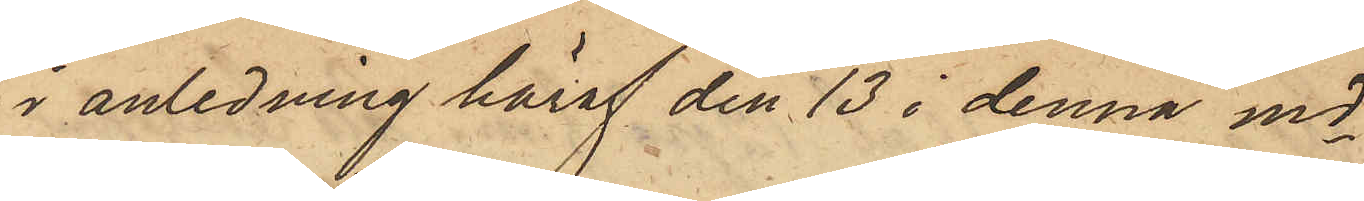i anledning häraf den 13 i denna md
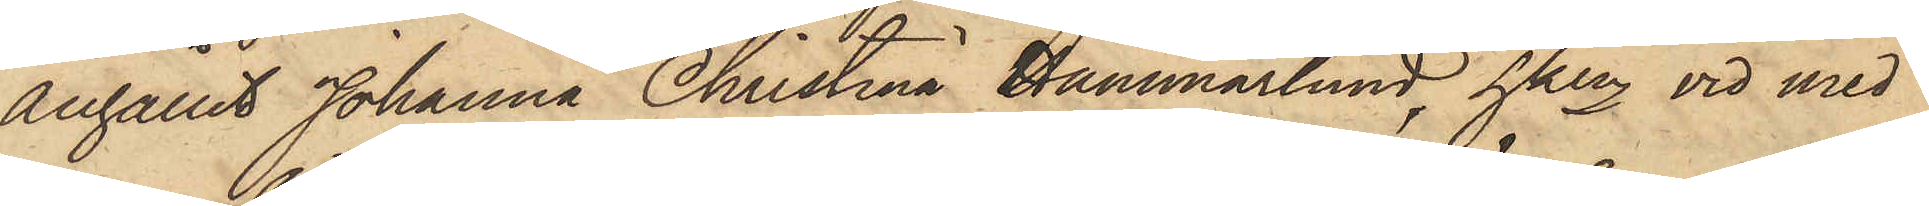anhållit Johanna Christina Hammarlund, hken vid med
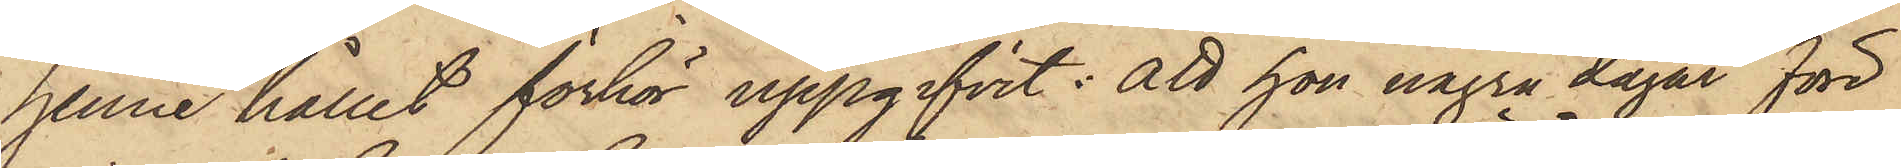henne hållet förhör uppgifvit: att hon några dagar före
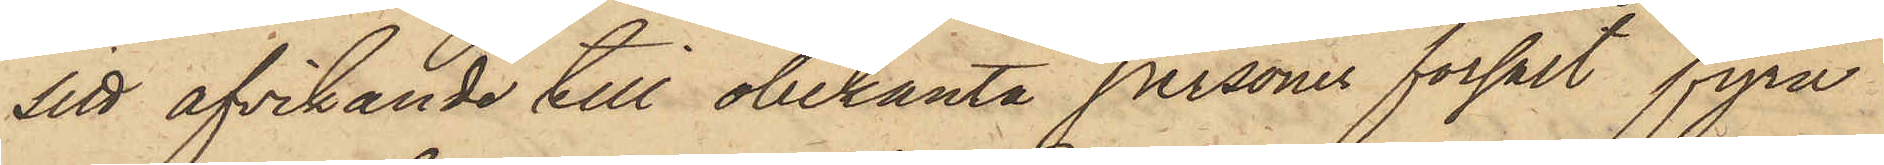sitt afvikande till obekanta personer försålt fyra
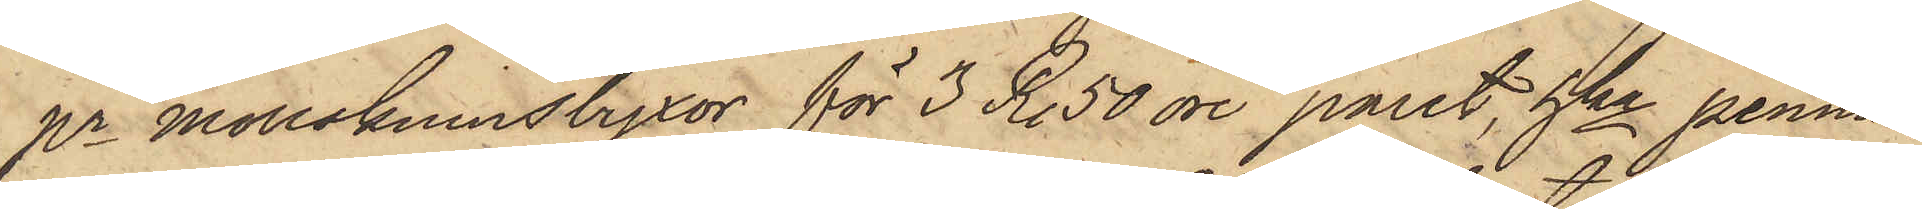pr mollskinnsbyxor för 3 R. 50 öre paret, hka pennin¬
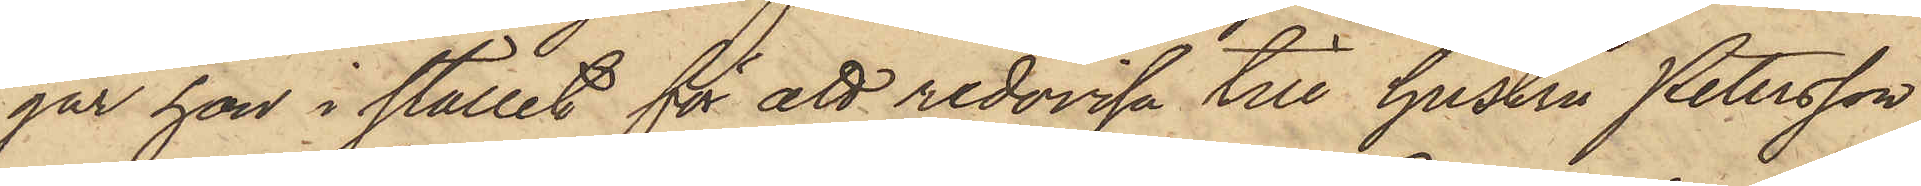gar hon i stället för att redovisa till hustru Petersson
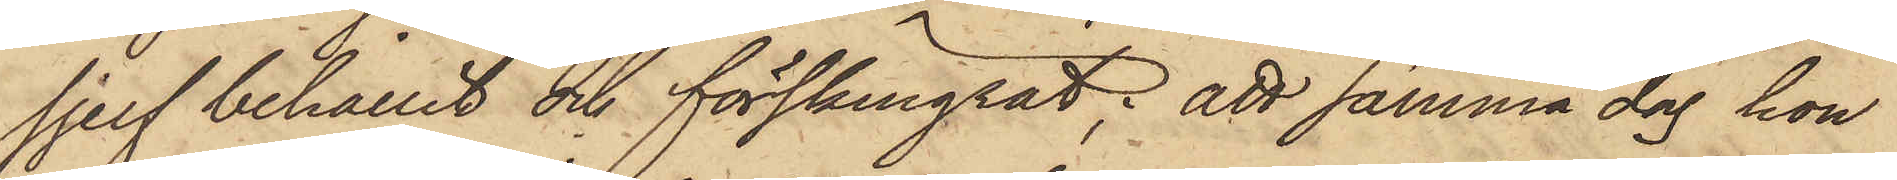sjelf behållit och förskingrat; att samma dag hon
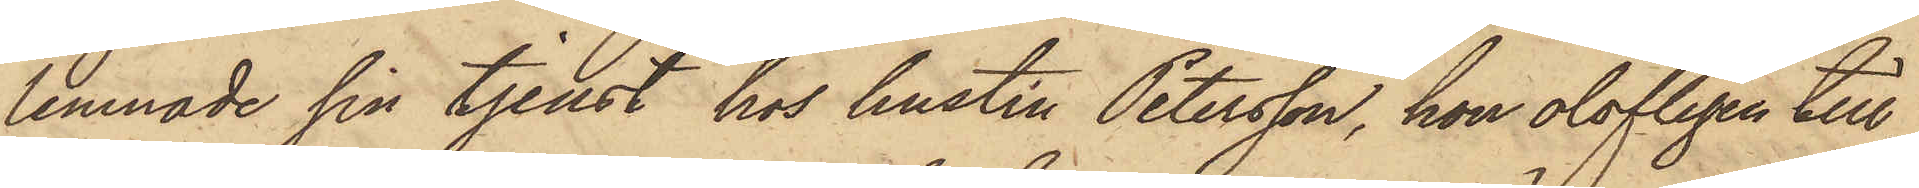lemnade sin tjenst hos hustru Petersson, hon olofligen till¬
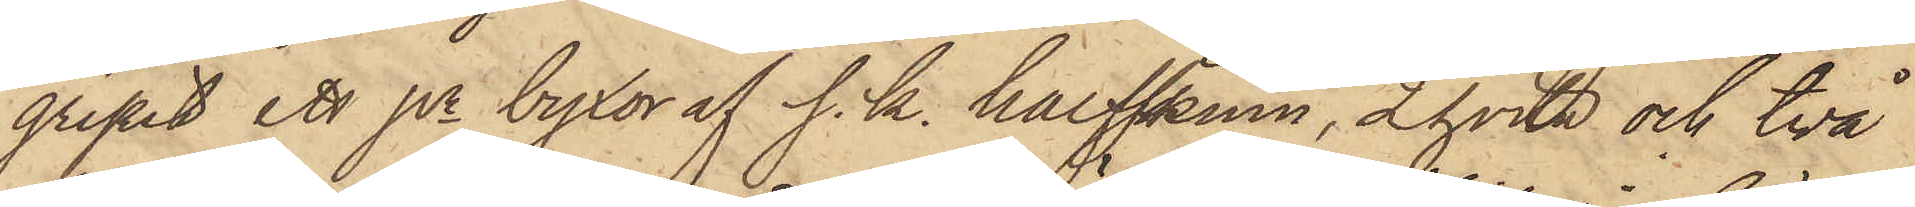gripit ett pr byxor af s. k. halfskinn, 2 hvita och två
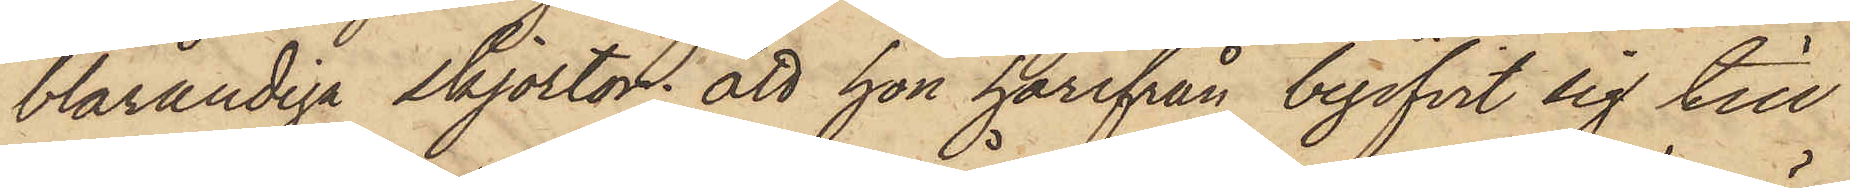blårandiga skjortor; att hon härifrån begifvit sig till
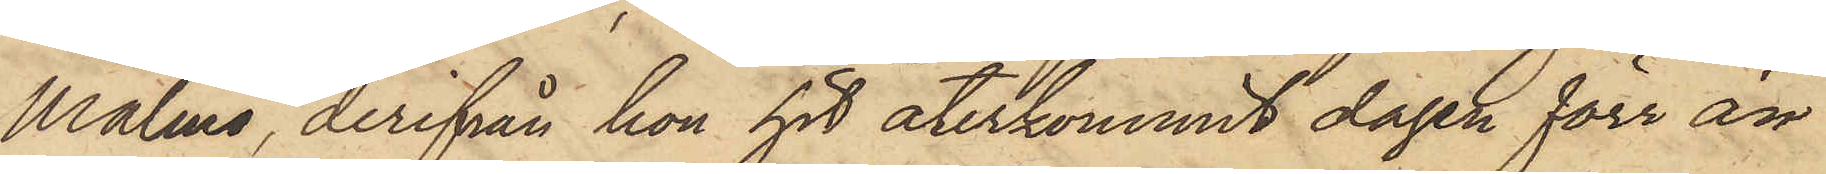Malmö, derifrån hon hit återkommit dagen förr än
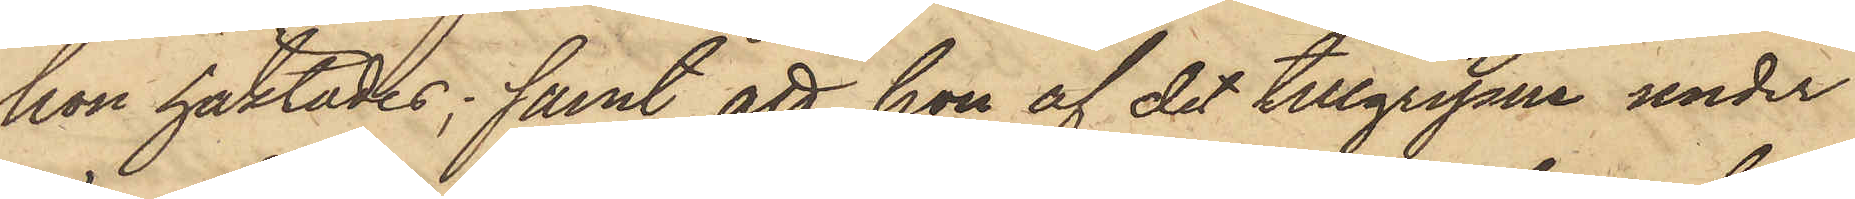hon häktades; samt att hon af det tillgripne under
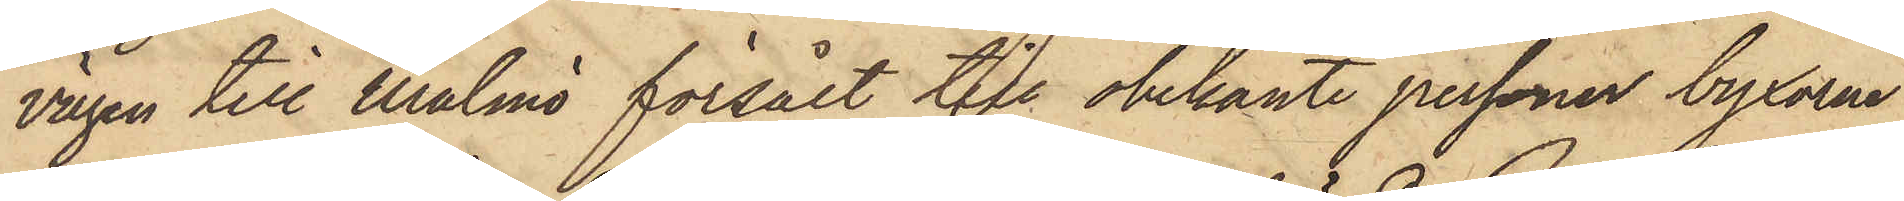vägen till Malmö försålt till obekante personer byxorna
